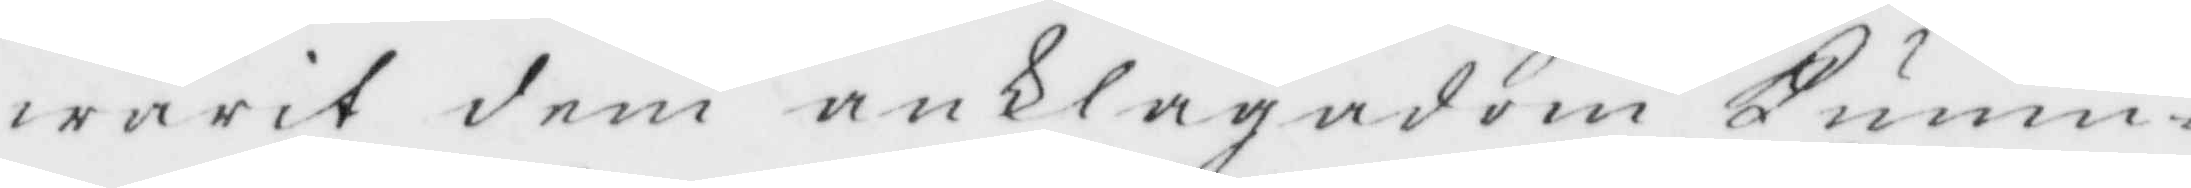warit dem anklagadom kunni¬
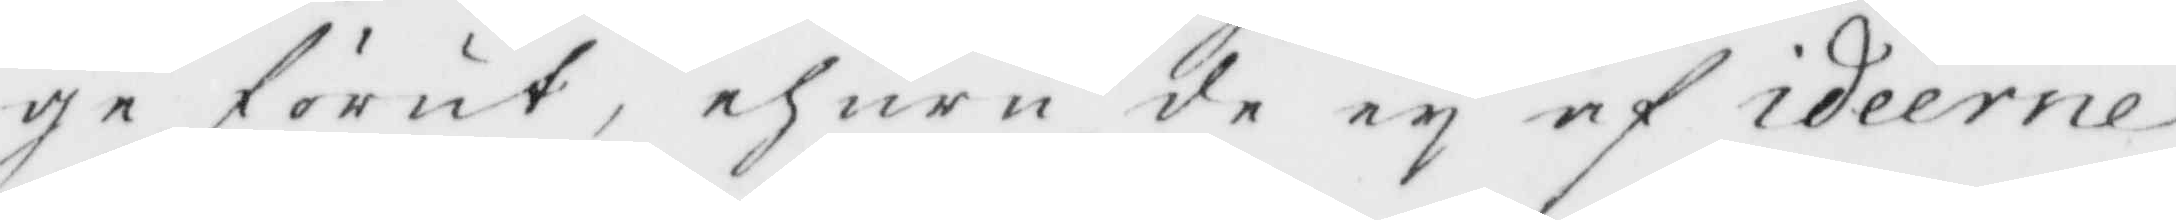ge förut, ehuru de ey af ideerne
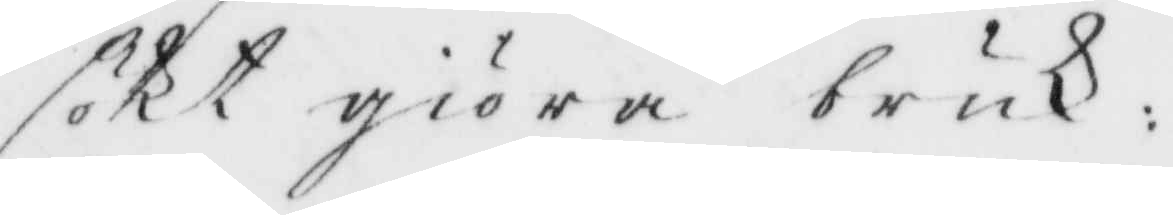sökt giöra bruk:
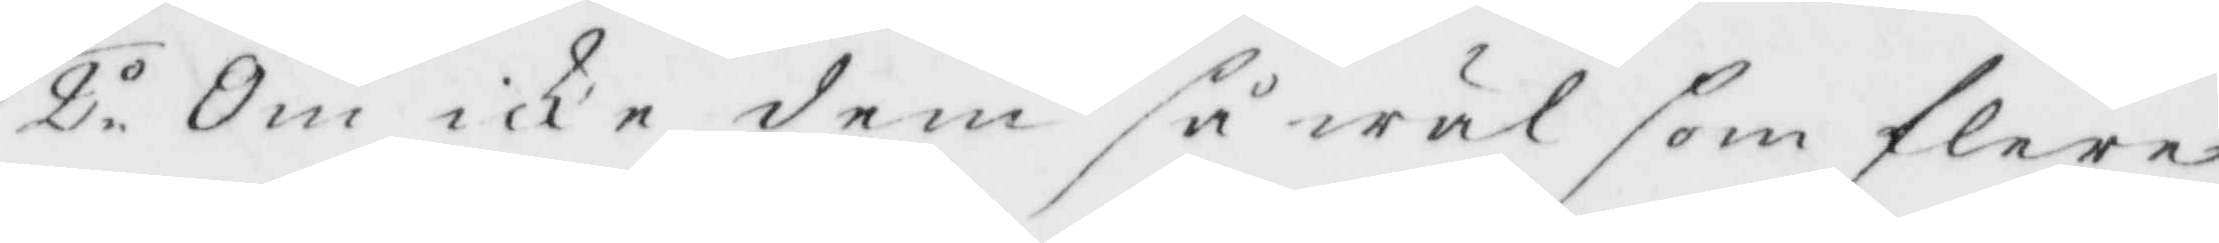2.o Om icke dem så wäl som flere
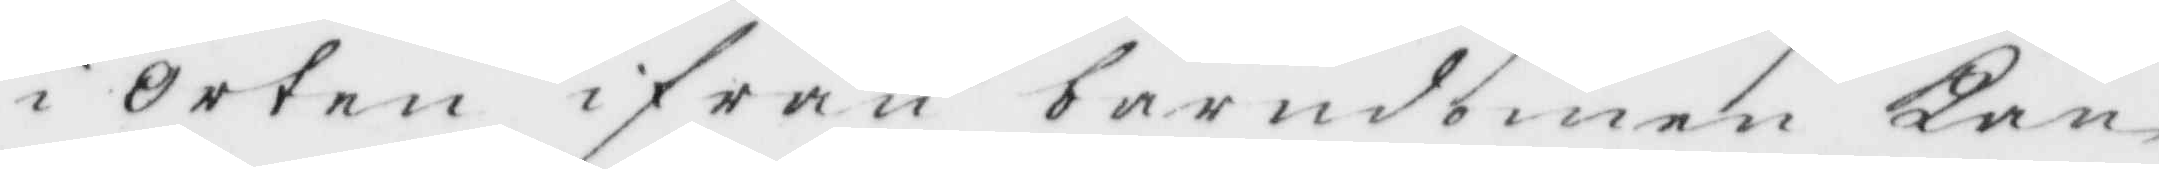o orten ifrån harndomen kan
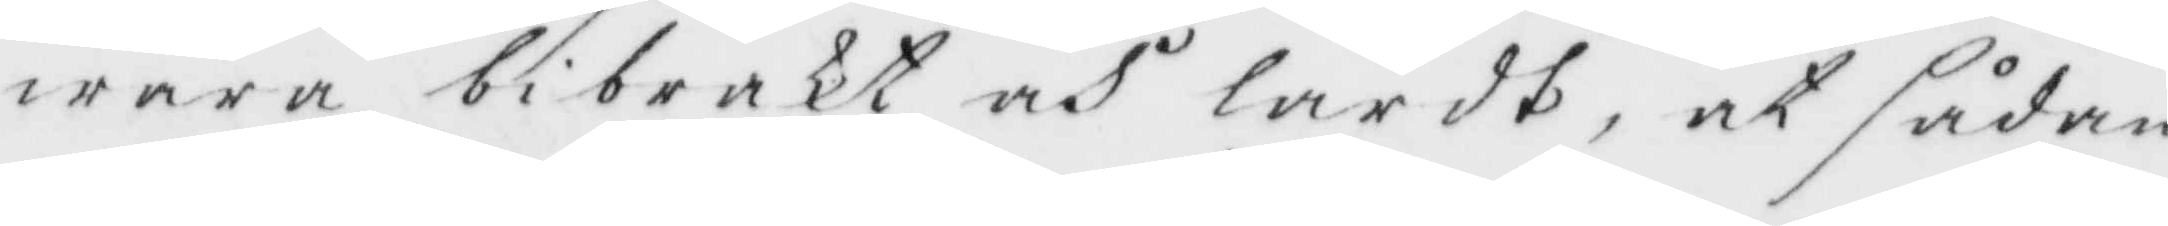wara bibrackt och lardt, at sådan¬
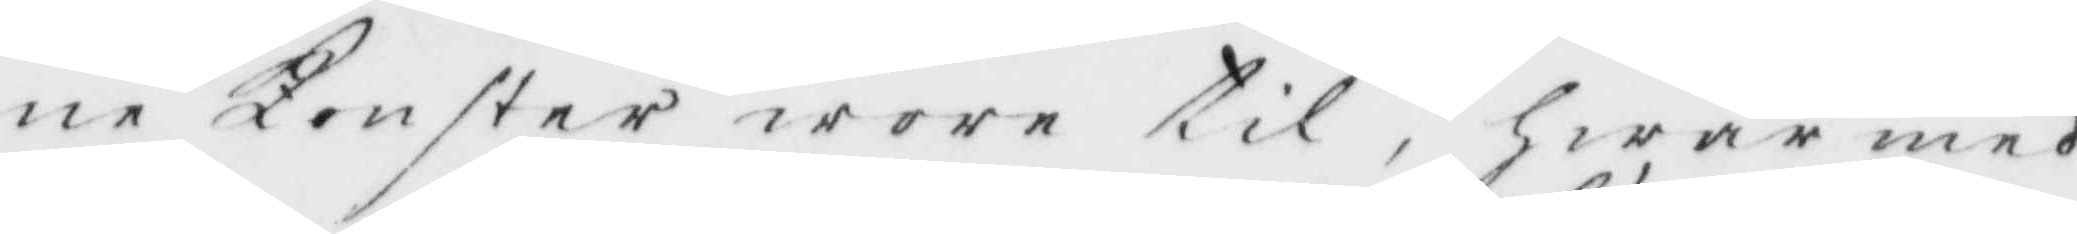ne konster wore til, Hwar med
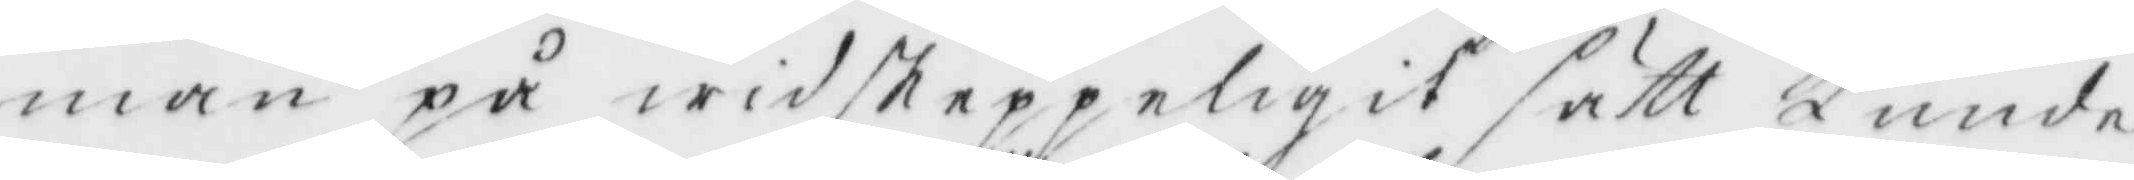man på widskeppeligit sätt kunde
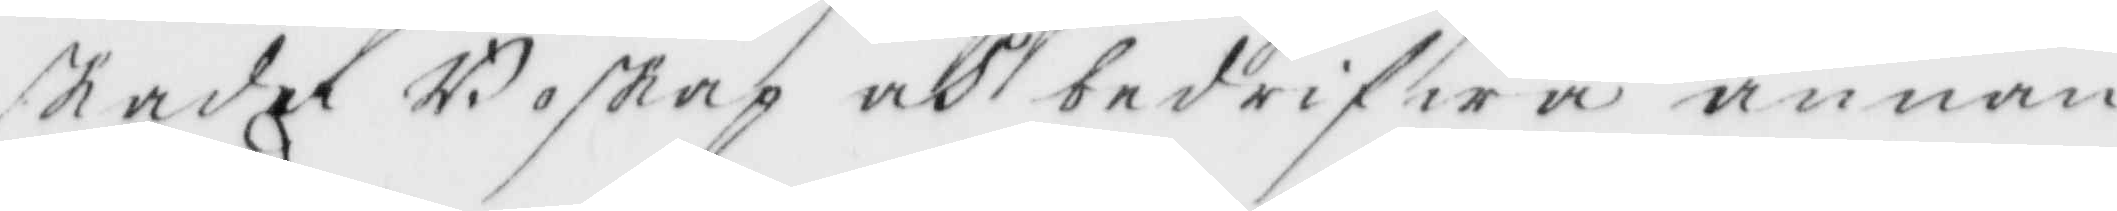skada Boskap och bedrifwa annan
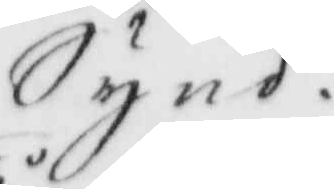Synd.
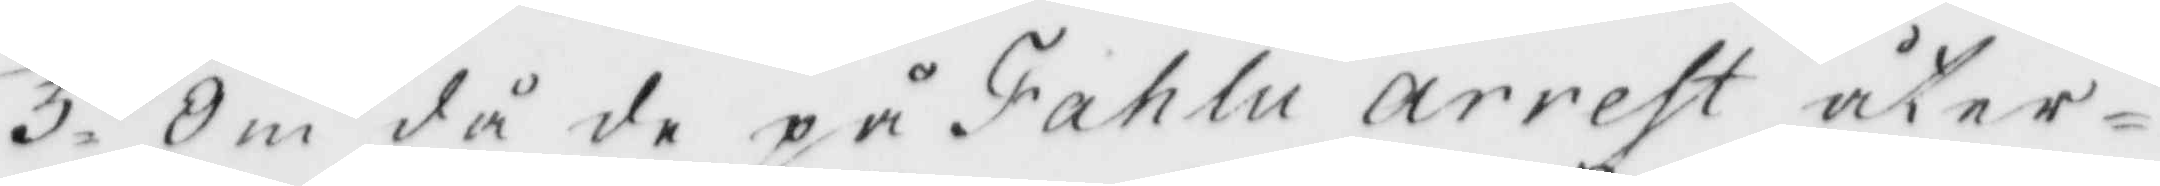3.o Om då de på Fahlu arrets åter¬
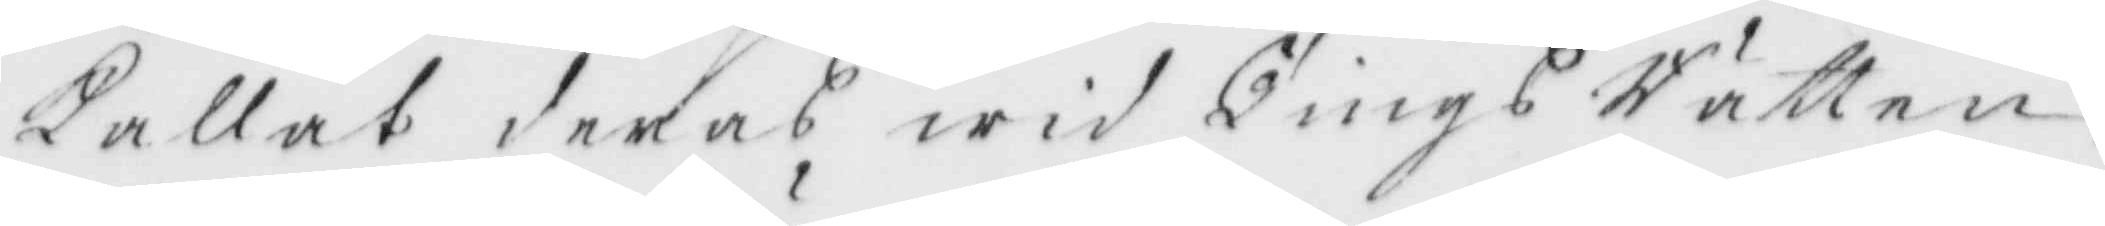kallat dennas wid TingsRätten
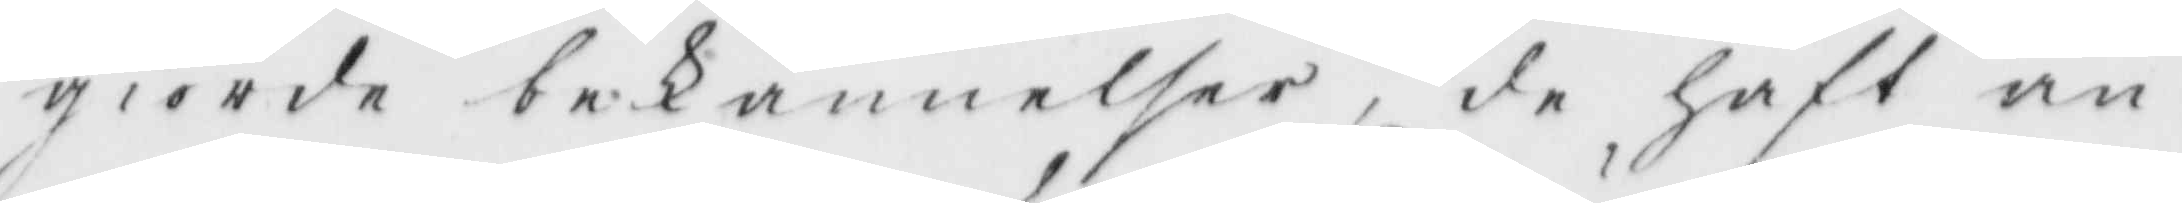giorde bekännelser, de Haft an¬
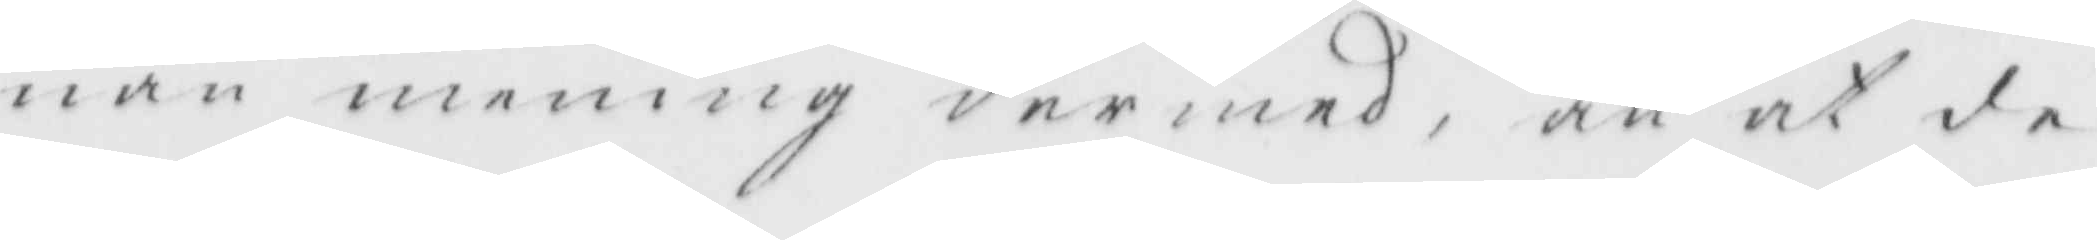nan mening dermed, än at de
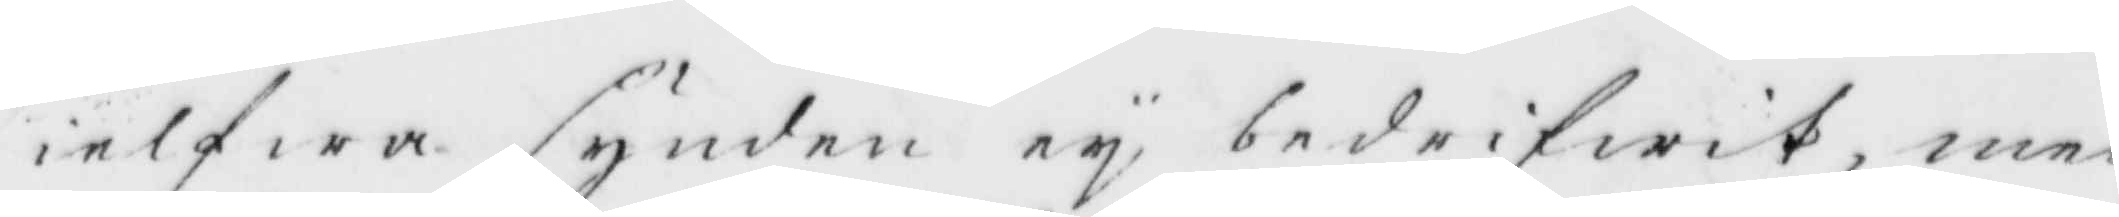sielwa synden ey bedrifwit, men
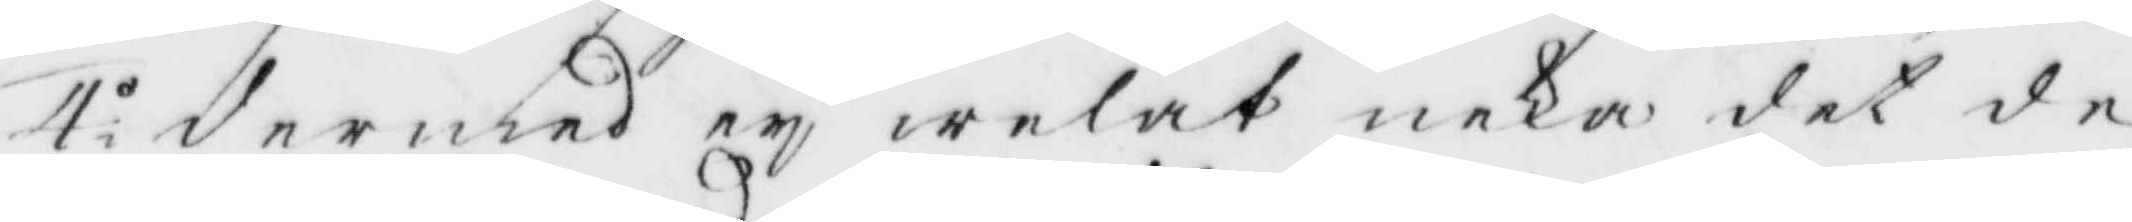4.o dermed ey welat neka det de
